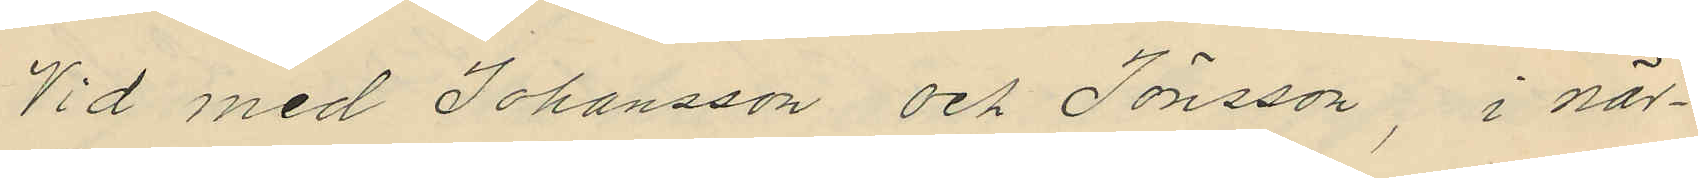Vid med Johansson och Jönsson, i när¬
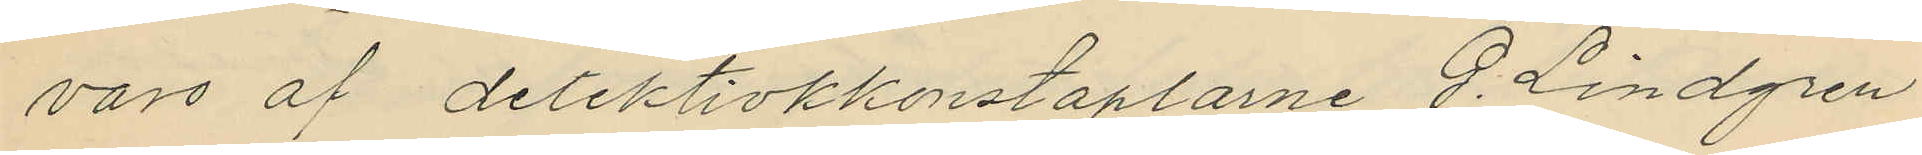varo af detektivkkonstaplarne G. Lindgren
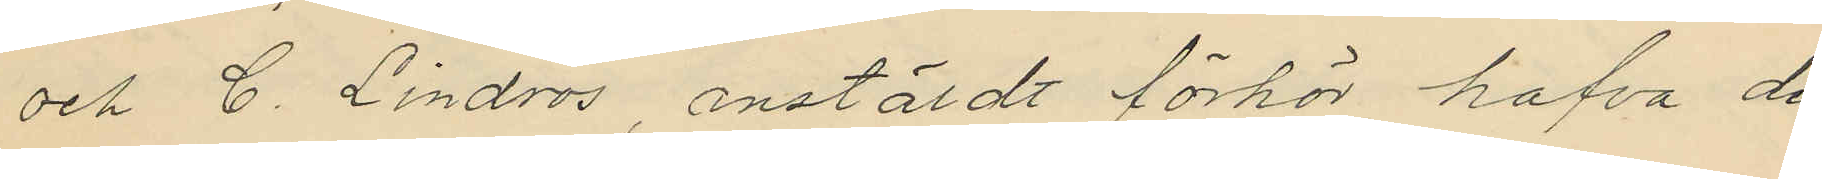och C. Lindros, anstäldt förhör hafva de
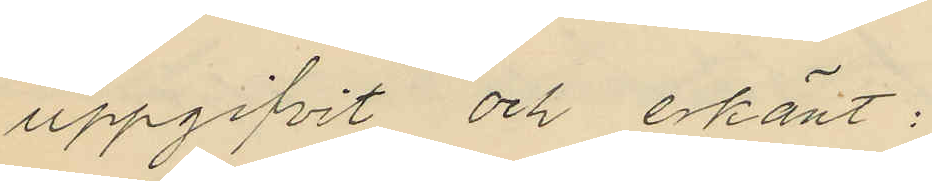uppgifvit och erkänt:
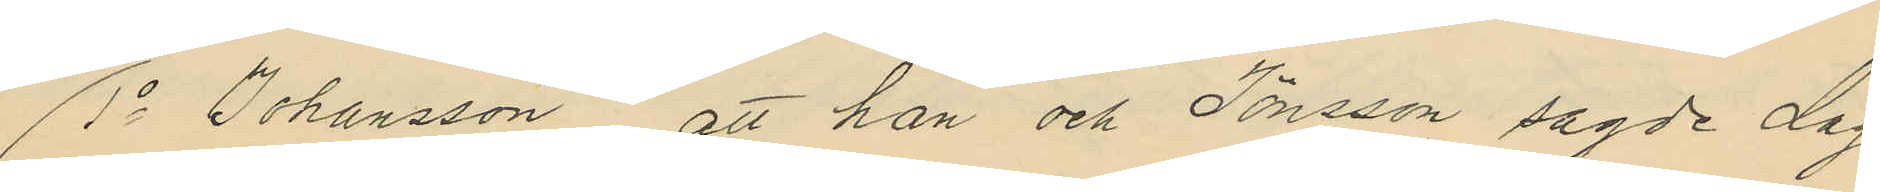1o Johansson att han och Jönsson sagde dag
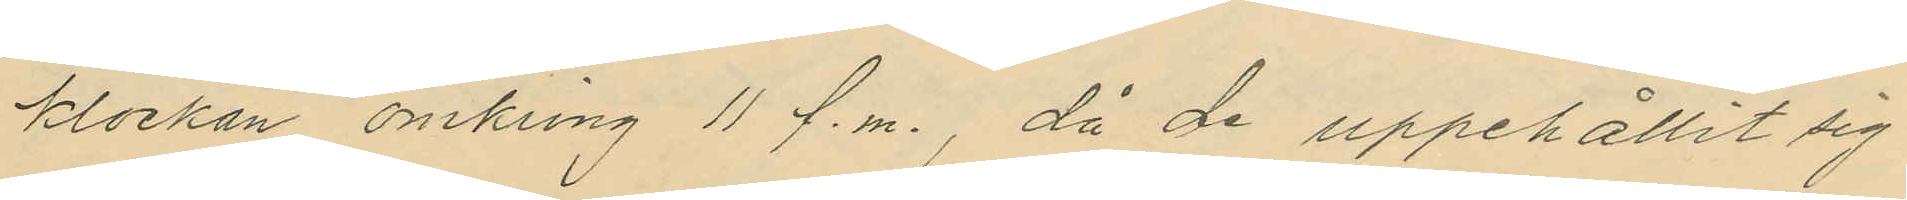klockan omkring 11 f.m., då de uppehållit sig
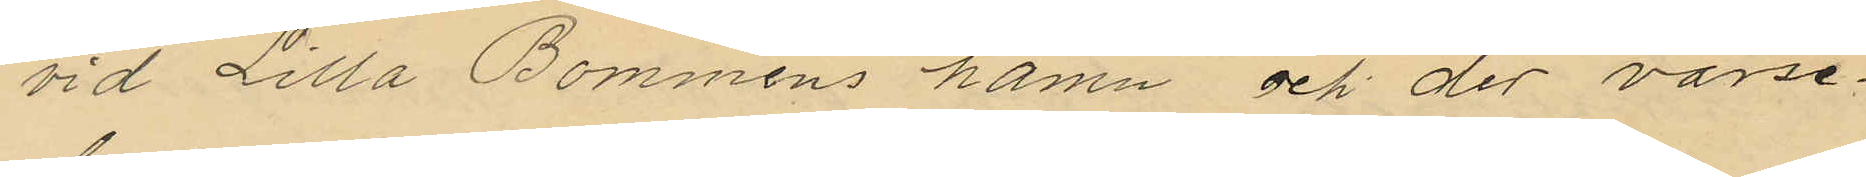vid Lilla Bommens hamn och der varse¬
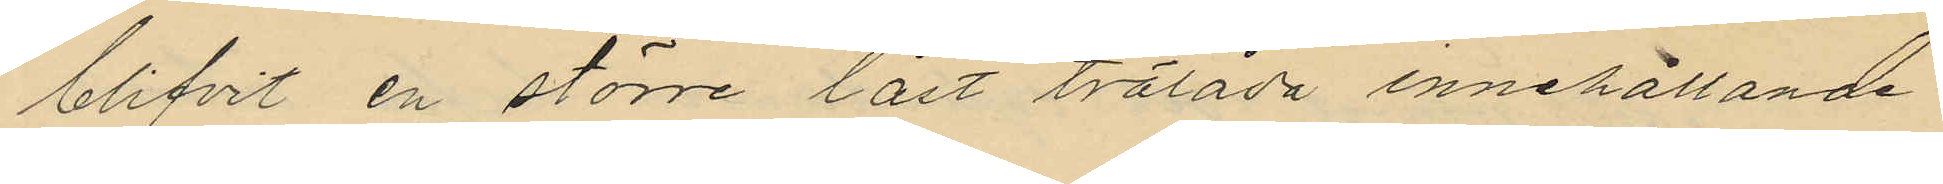blifvit en större låst trälåda innehållande
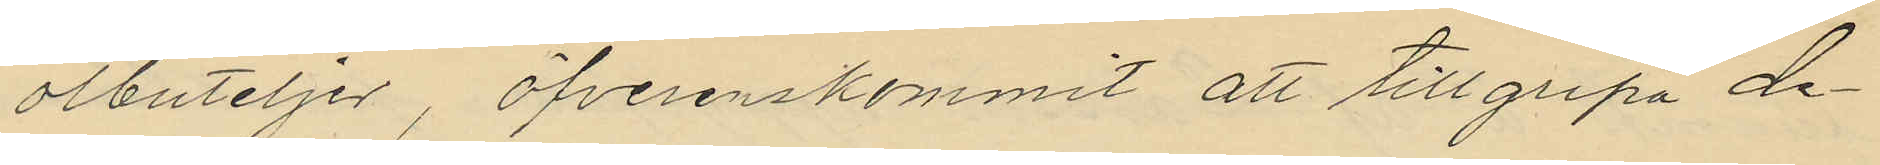olbuteljer, öfverenskommit att tillgripa de¬
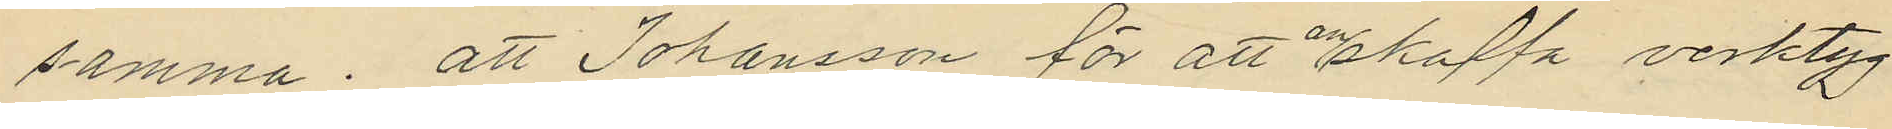samma; att Johansson för att anskaffa verktyg
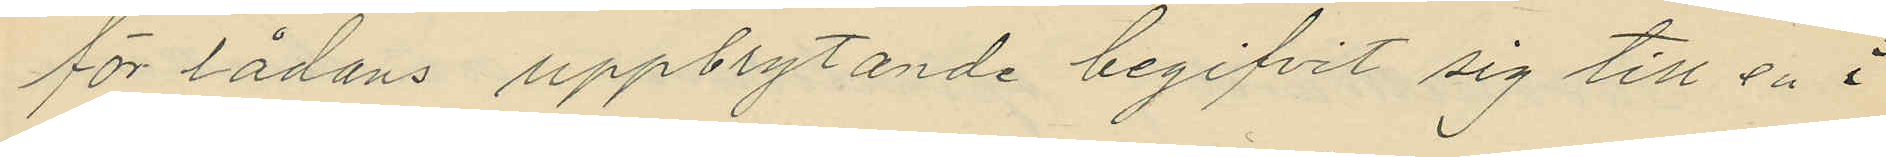för lådans uppbrytande begifvit sig till en i
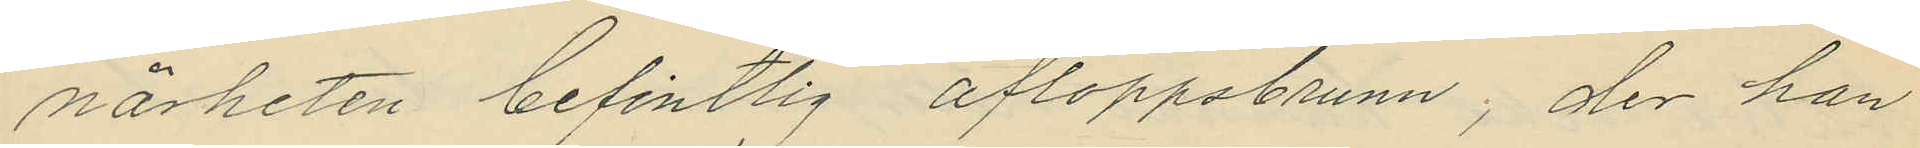närheten befintlig afloppsbrunn; der han
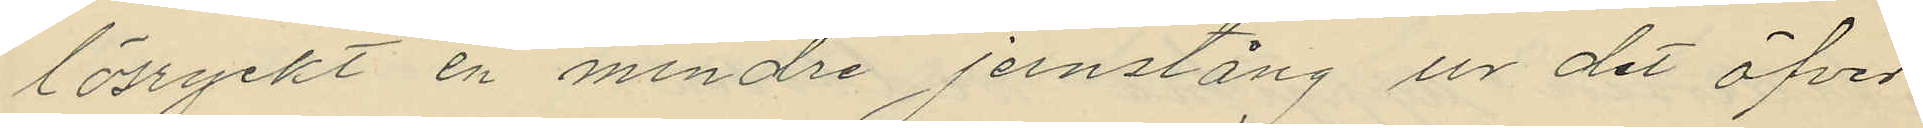lösryckt en mindre jernstång ur det öfver
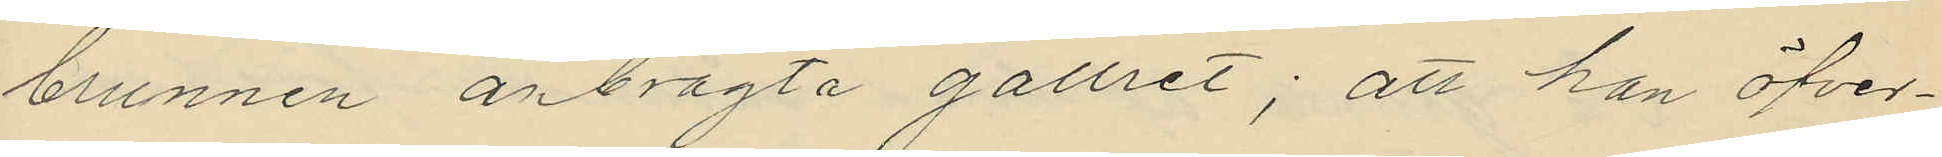brunnen anbragta gallret; att han öfver¬
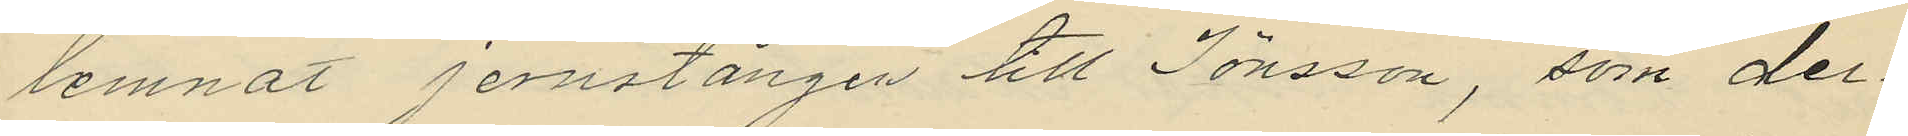lemnat jernstången till Jönsson, som der¬
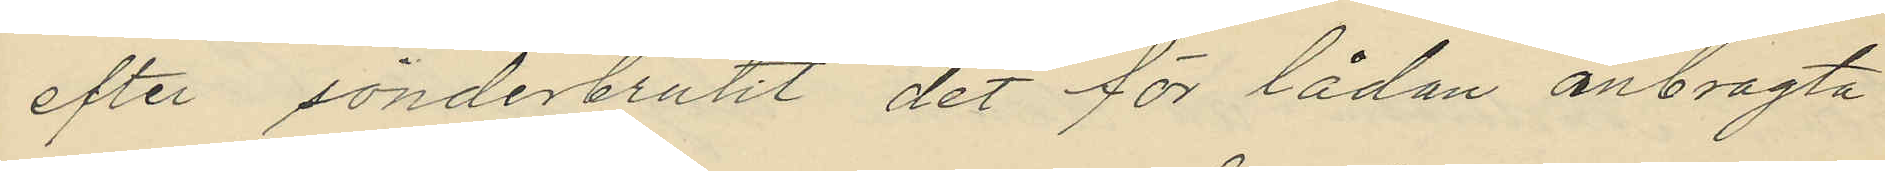efter sönderbrutit det för lådan anbragta
